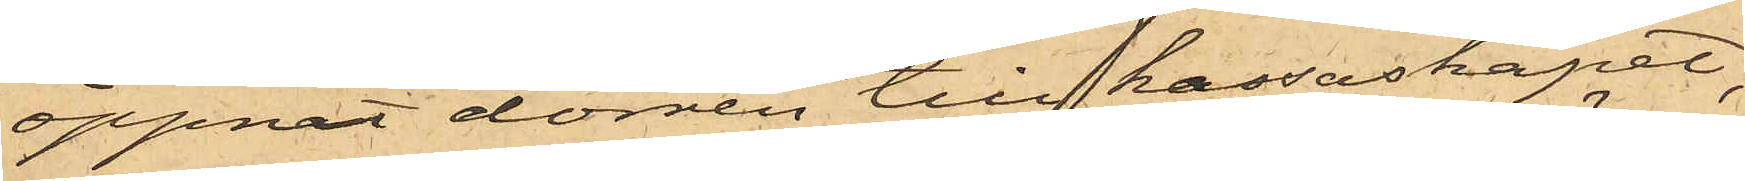öppnat dörren till kassaskåpet;
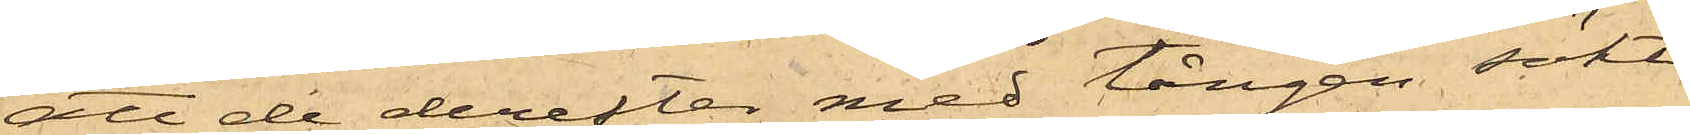att de derefter med tången sökt
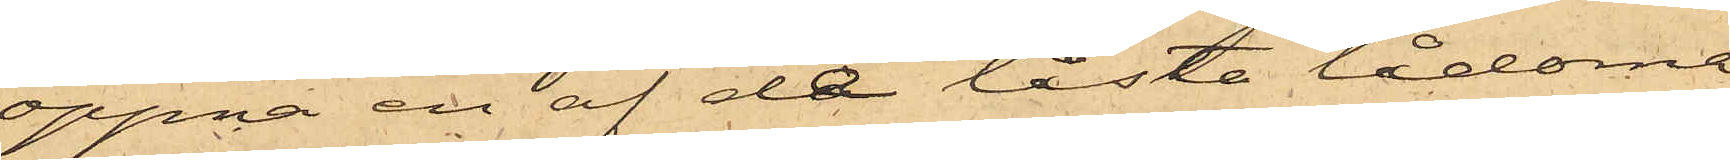öppna en af de låsta lådome
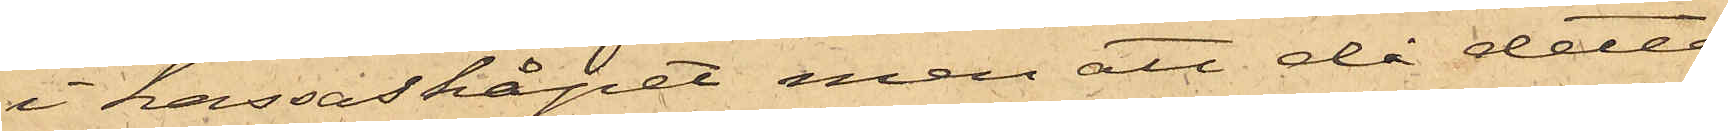i kassaskåpet, men att då detta
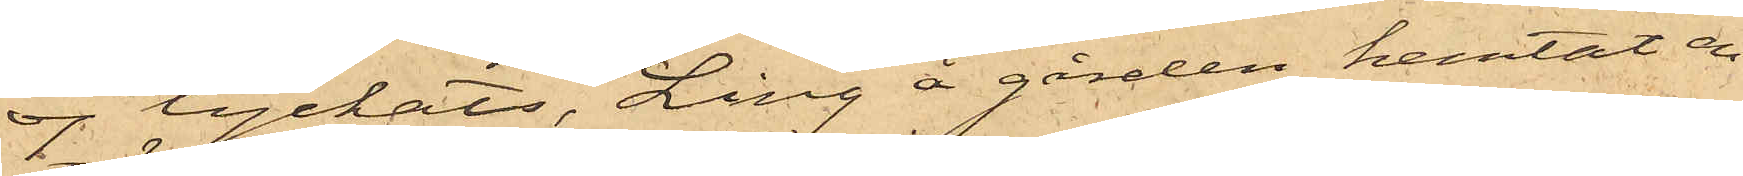ej lyckats, Ling å gården hemtat en
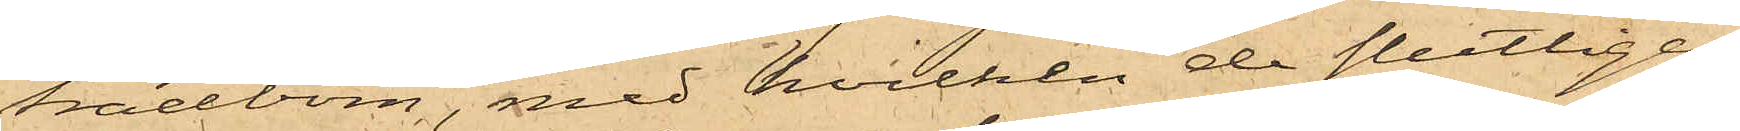trädbom, med hvilken de slutligen
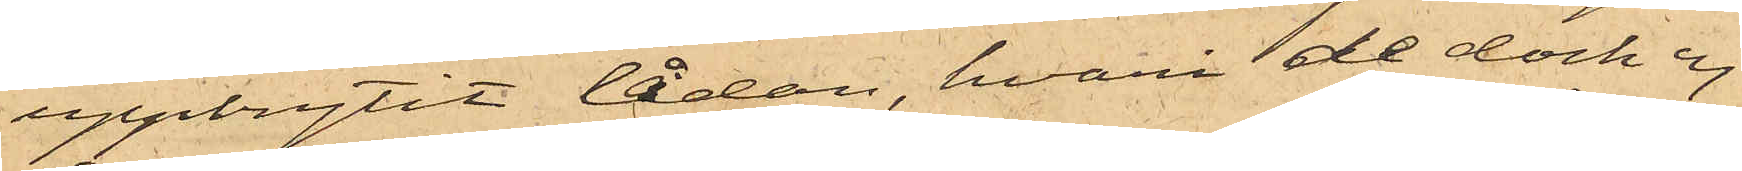uppbrytit lådan, hvari de dock ej
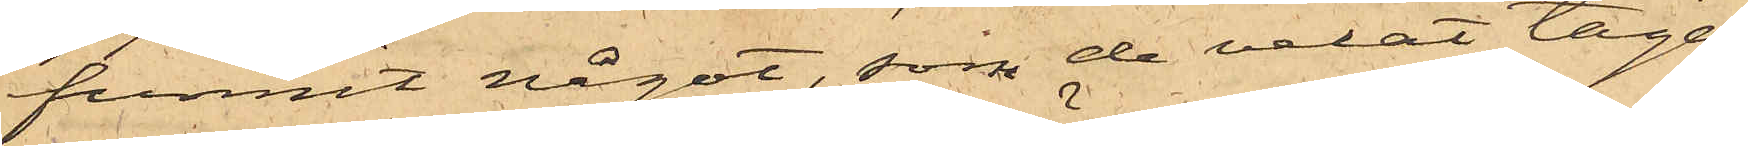funnit något, som de velat taga,
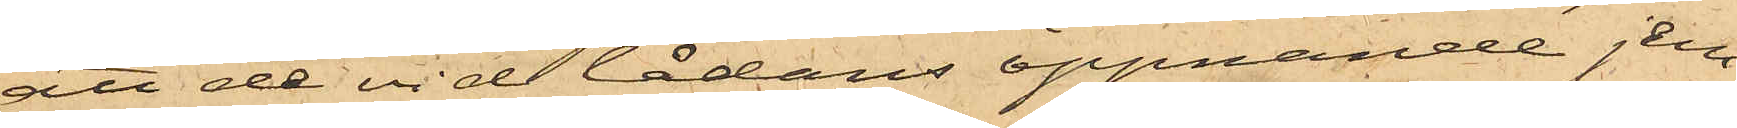att de vid lådans öppnande jem¬
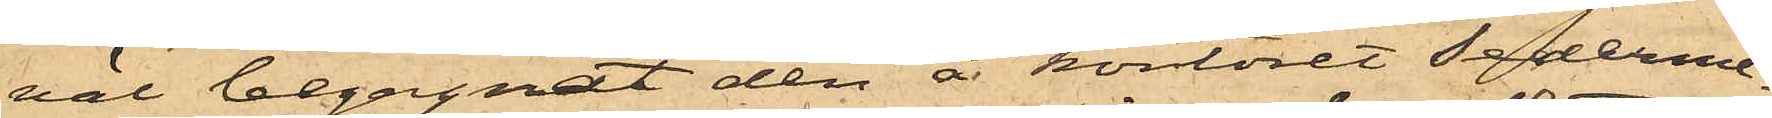väl begagnat den å kontoret sederme¬
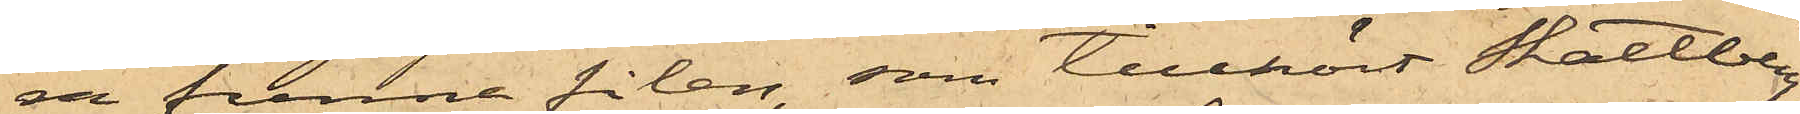ra funna filen, som tillhört Skattberg;
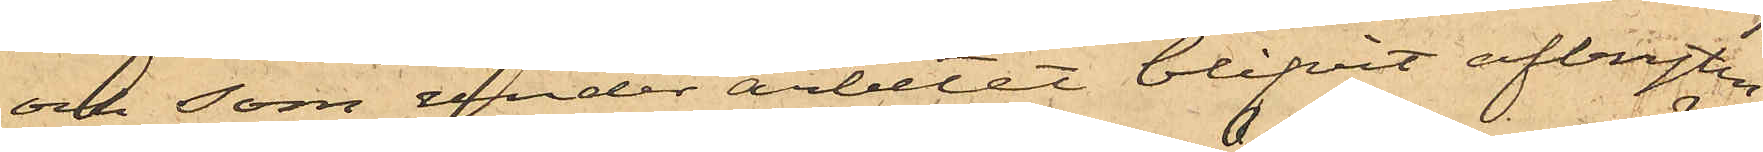och som under arbetet blifvit afbryten;
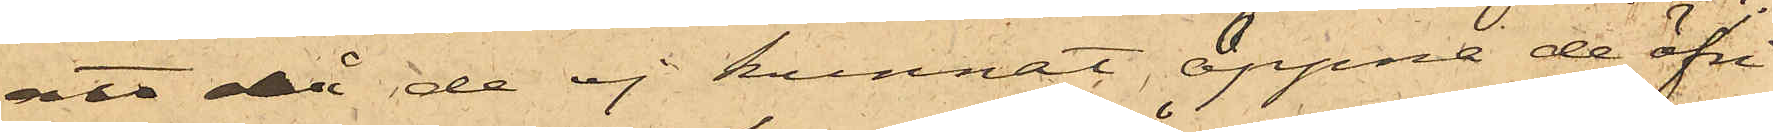att då de ej kunnat öppna de öfri¬
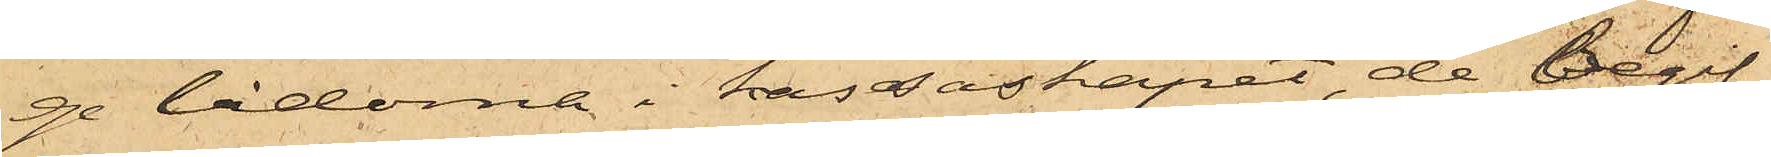ge lådorna i kassaskåpet, de begif¬
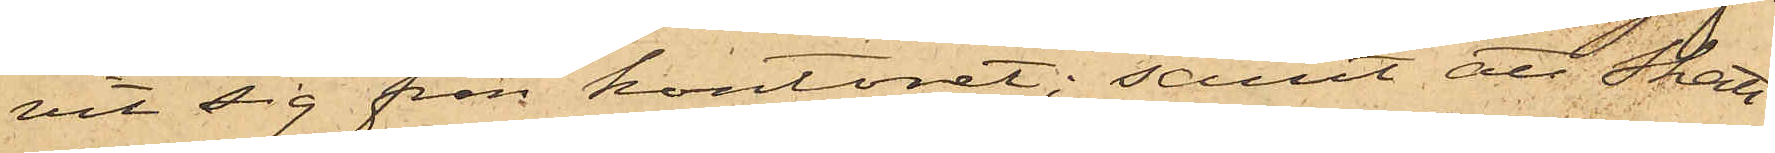vit sig från kontoret, samt att Skatt¬
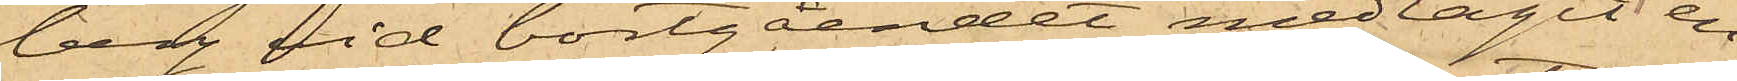berg vid bortgåendet medtagit en
